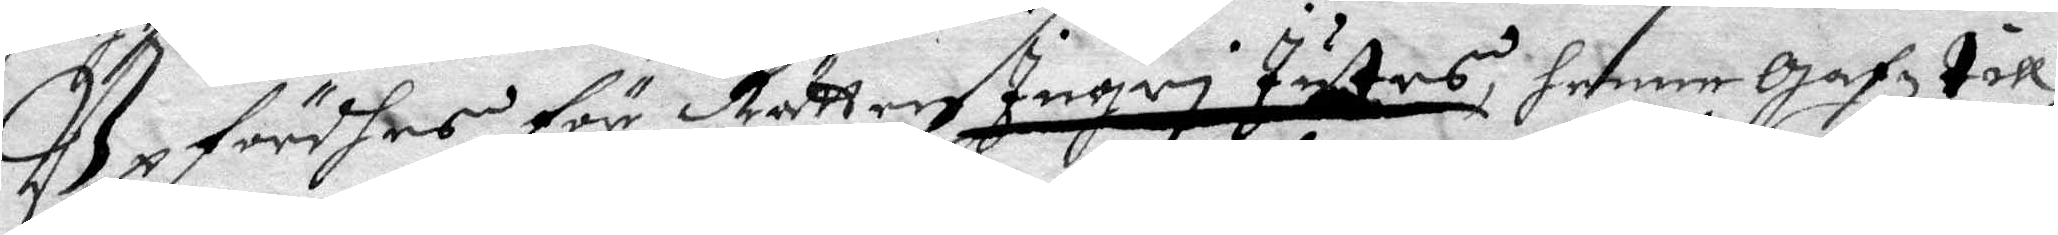Upfördhes för Rätten Ingri Jutes, henne Gafz till¬
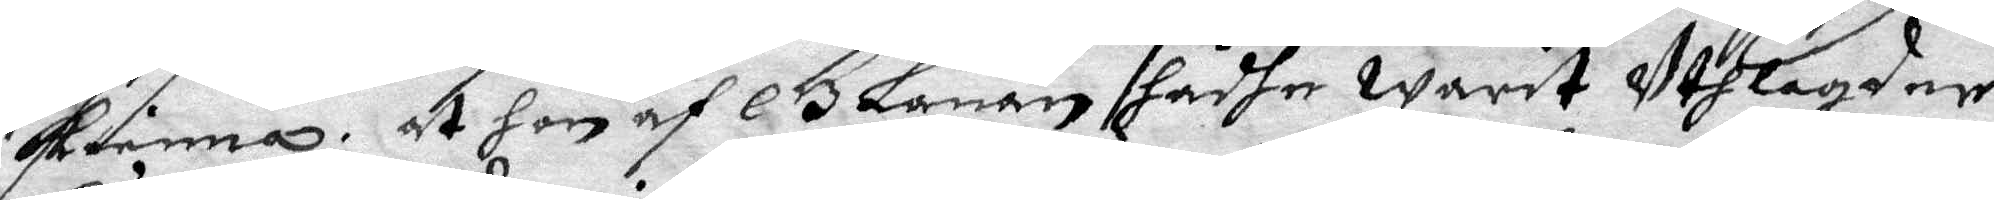kienna, at hon af Glanan hadhe warit Uthlagder
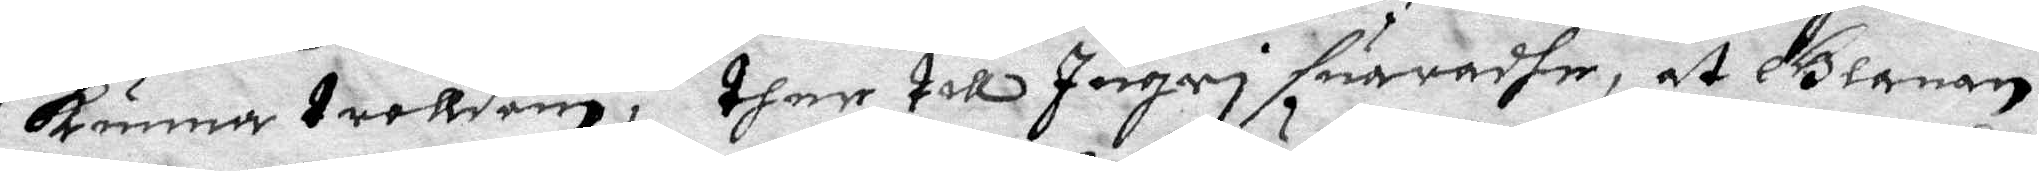kunna troldom; ther till Ingri suaradhe, at Glanan
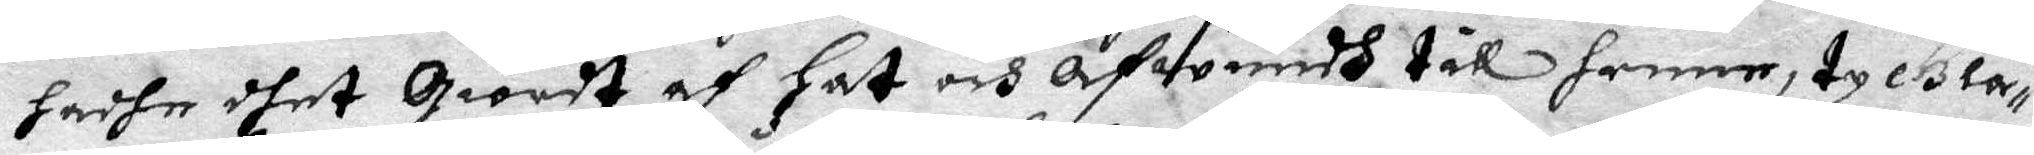hadhe dhet Giordt af Hat och afwundh til henne, ty Gla¬
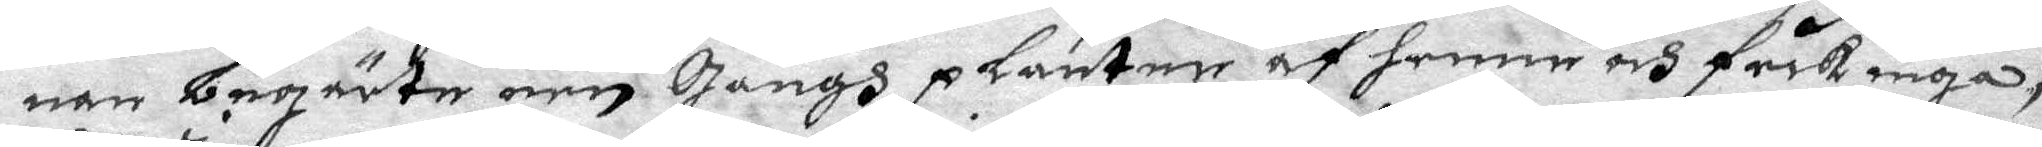nan begärte een Gångh planter af henne och fick inga;
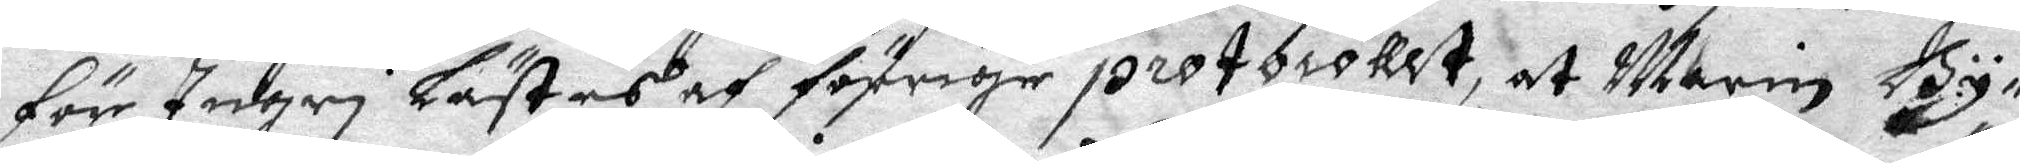För Ingri Lästes af förriga protocollet at Marin By¬
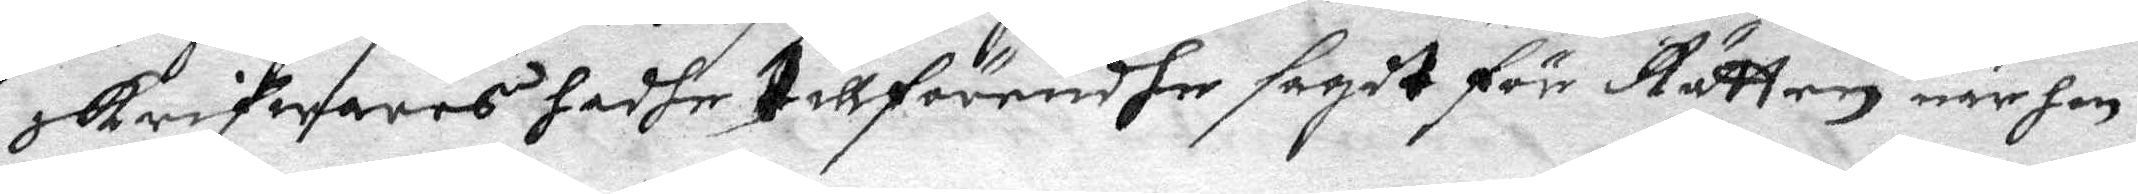skrifwares hadhe tillförendhe sagit för Rätten när hon
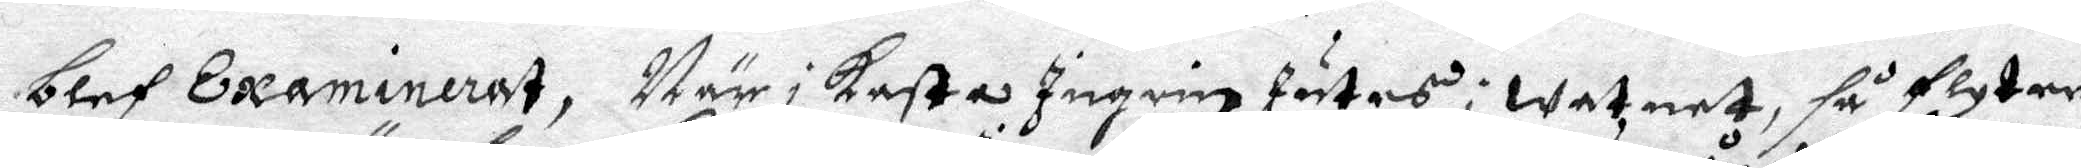blef Examinerat, När ikasta Ingrin Jutes i watnet, så flyter
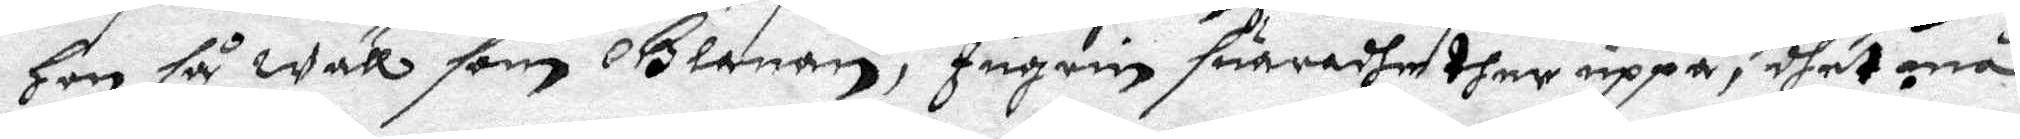hon så wäll som Glanan, Ingrin suaradher uppå, dhet må
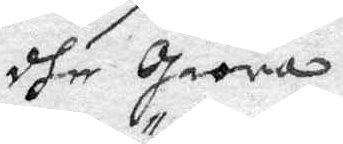dhe Giöra.
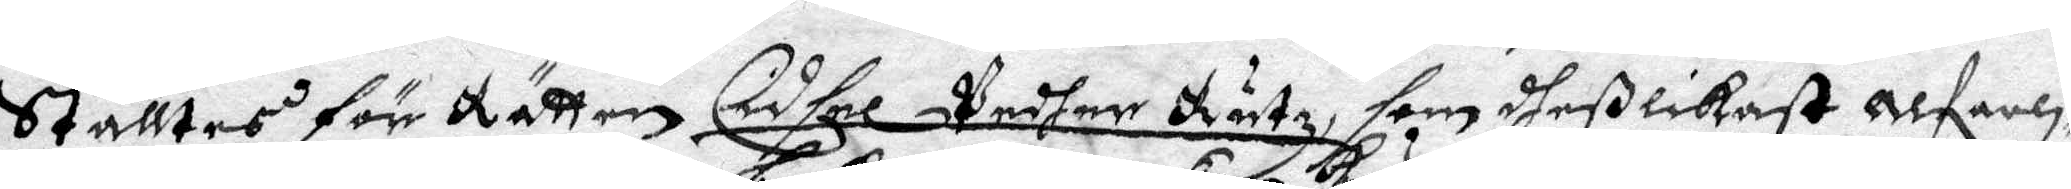Ställtes för Rätten Cidsel Pedher Rutz, som deßlikast alferli¬
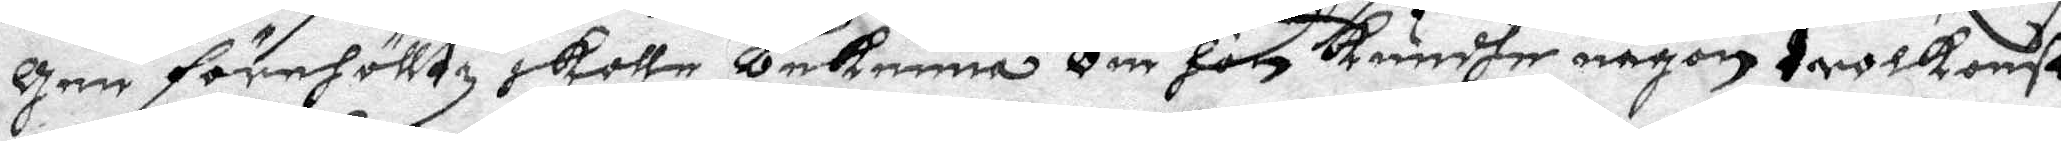gen förehölltz skolle bekenna om hon kundhe någon trolkonst
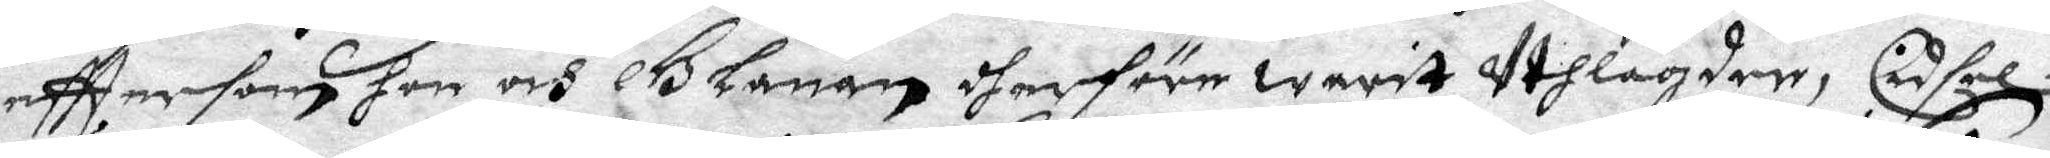efttersom hon och Glanan dherföre waritUthlagder, Cidsel
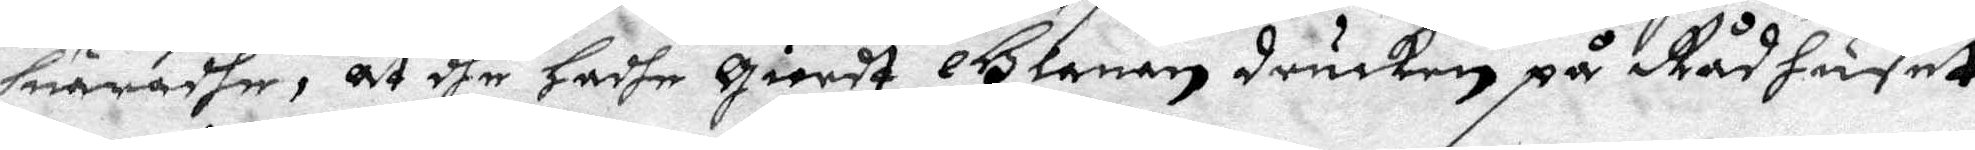suaradhe, at dhe Hadhe Giordt Glanan drucken på Rådhuset
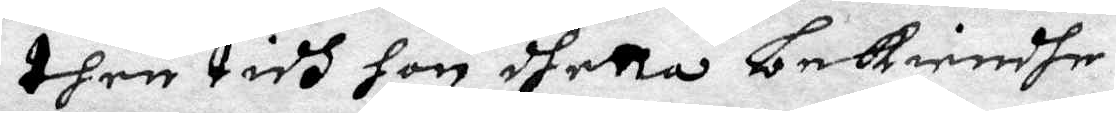then tidh hon dhetta bekiendhe.
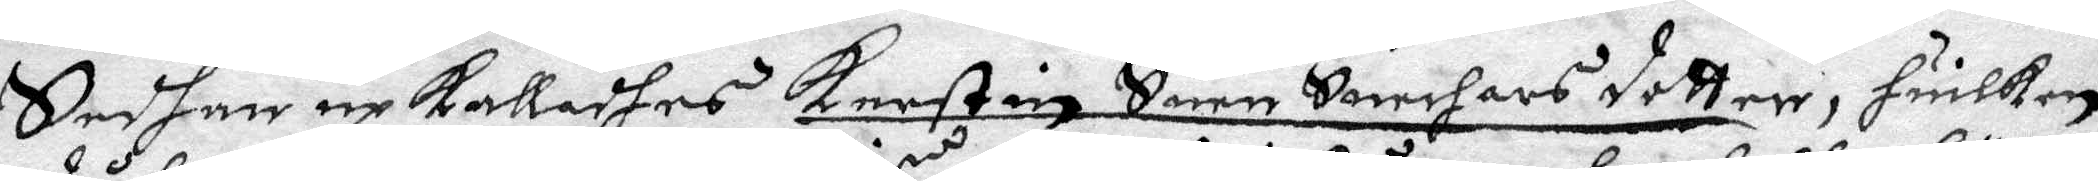Sedhan upkalladhes Kerstin Suen Swarhars dotter, huilken 
